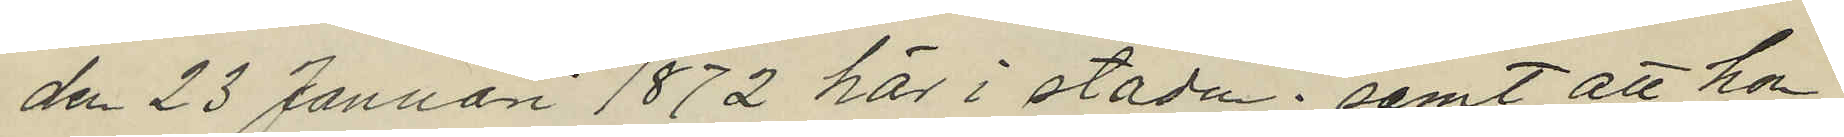den 23 Januari 1872 här i staden; samt att hon
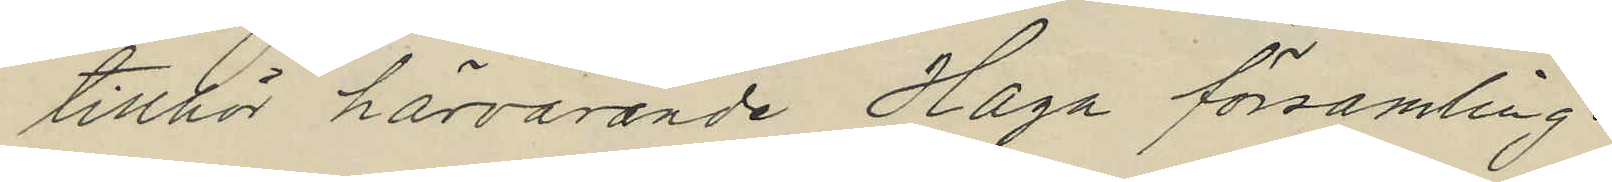tillhör härvarande Haga församling.
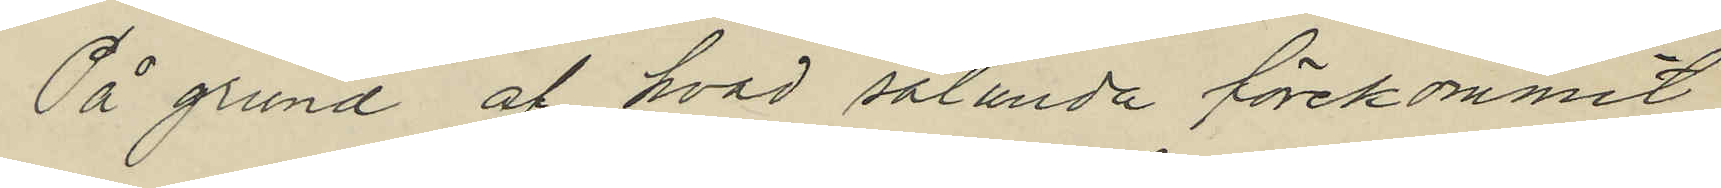På grund af hvad sålunda förekommit
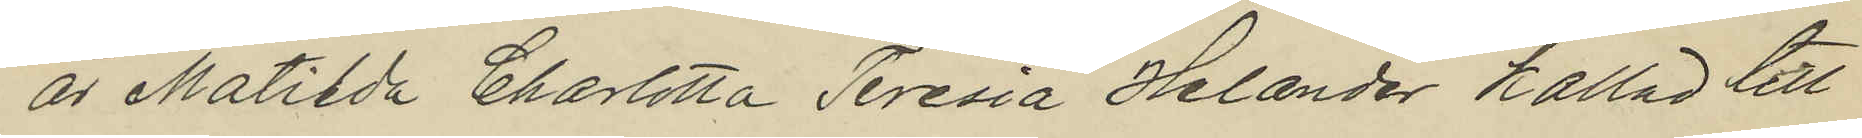är Matiida Charlotta Teresia Helander kallad till
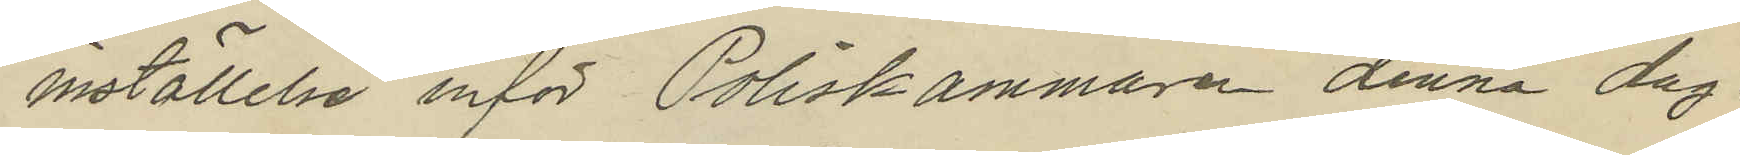inställelse inför Poliskammaren denna dag.
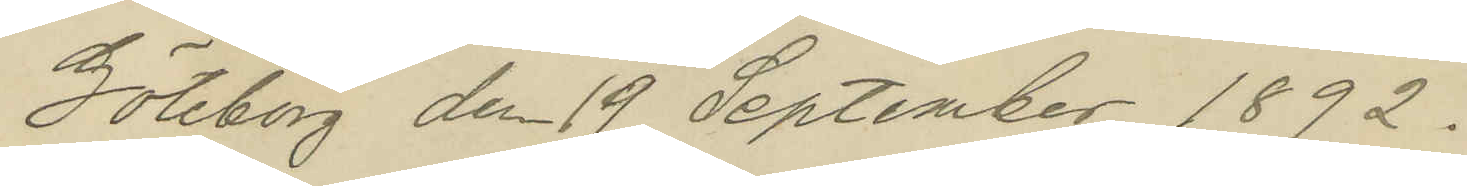Göteborg den 19 September 1892.
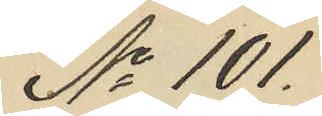No 101.
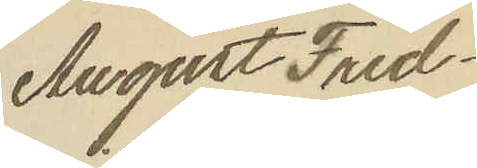August Fred¬
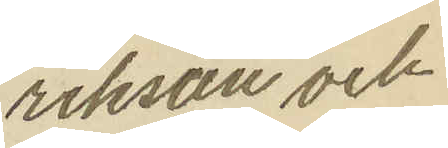rikson och
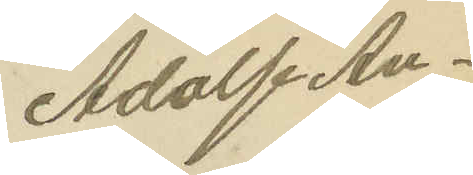Adolf An¬
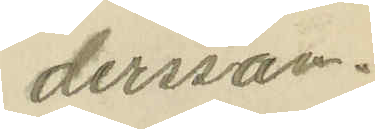dersson.
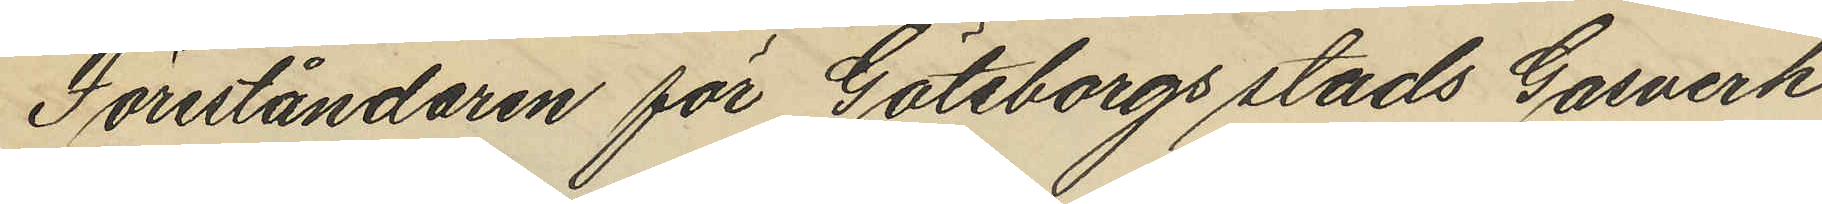Föreståndaren för Göteborgs stads Gasverk
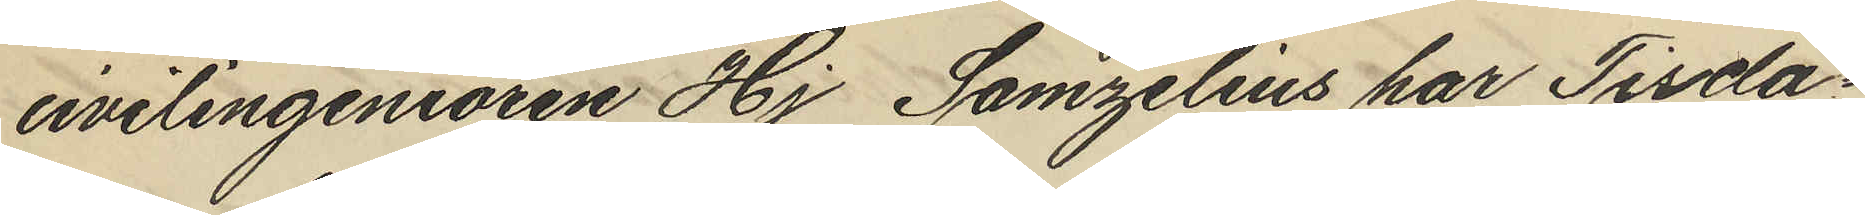civilingeniören Hj Samzelius har Tisda¬
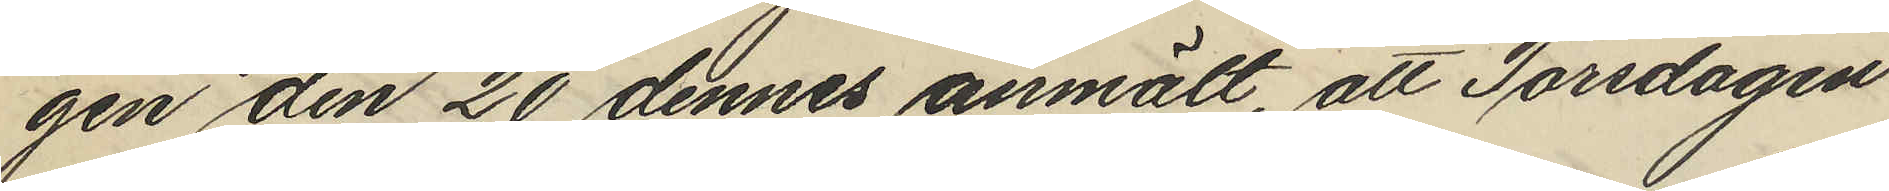gen den 20 dennes anmält, att Torsdagen
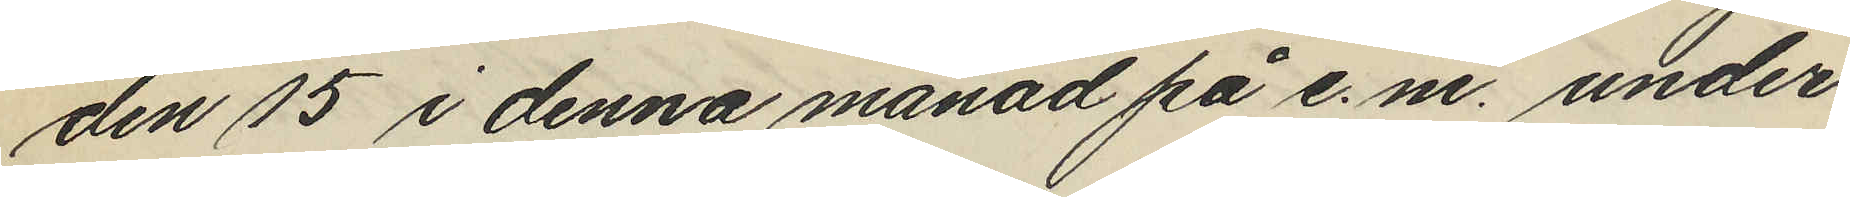den 15 i denna månad på e.m. under
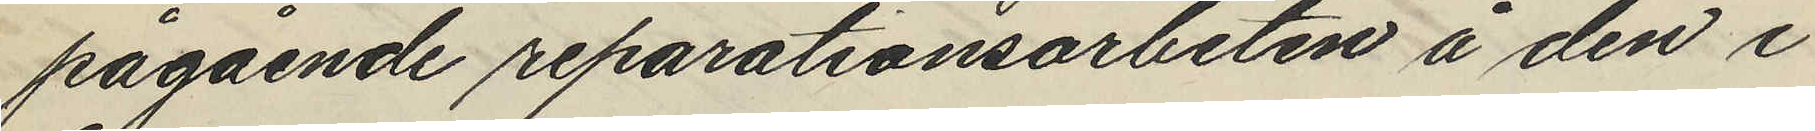pågående reparationsarbeten å den i
